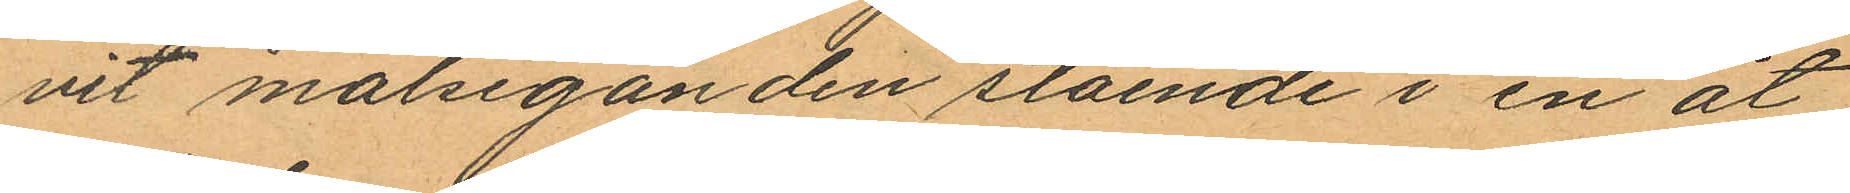vit målseganden stående i en åt
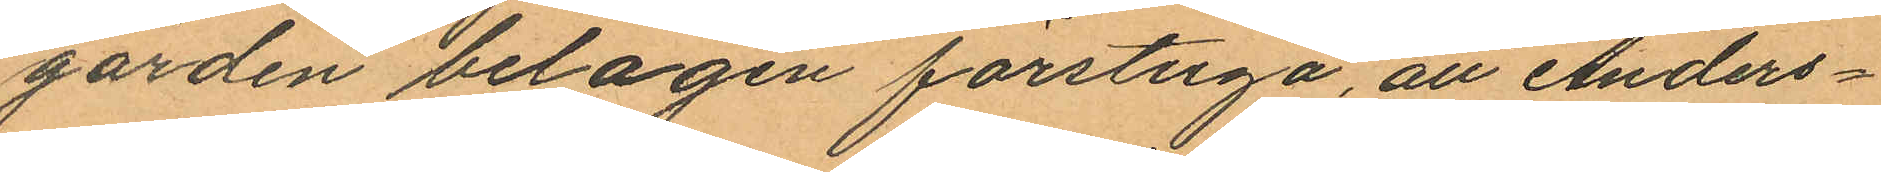gården belägen förstuga, att Anders¬
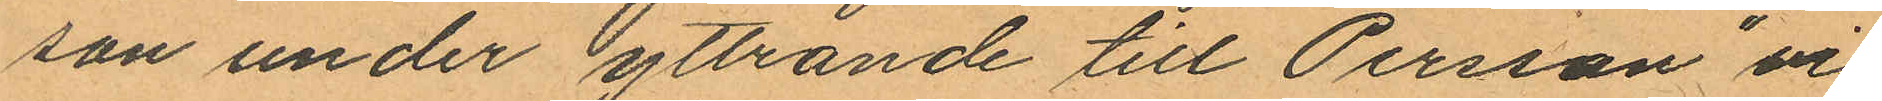son under yttrande till Persson "vi
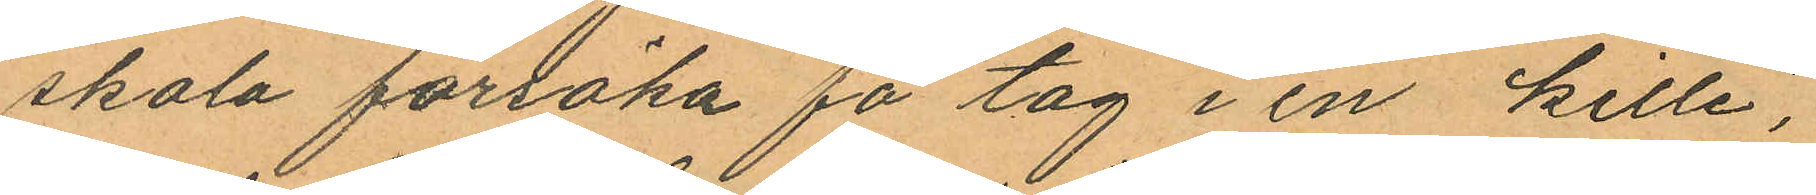skola försöka få tag i en kille",
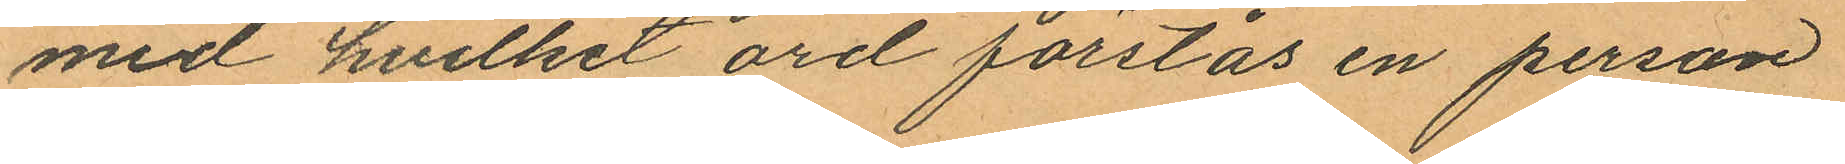med hvilket ord förstås en person
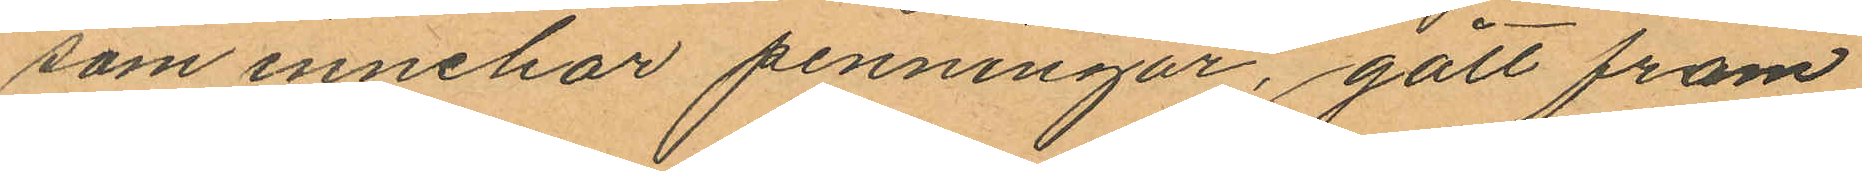som innehar penningar, gått fram
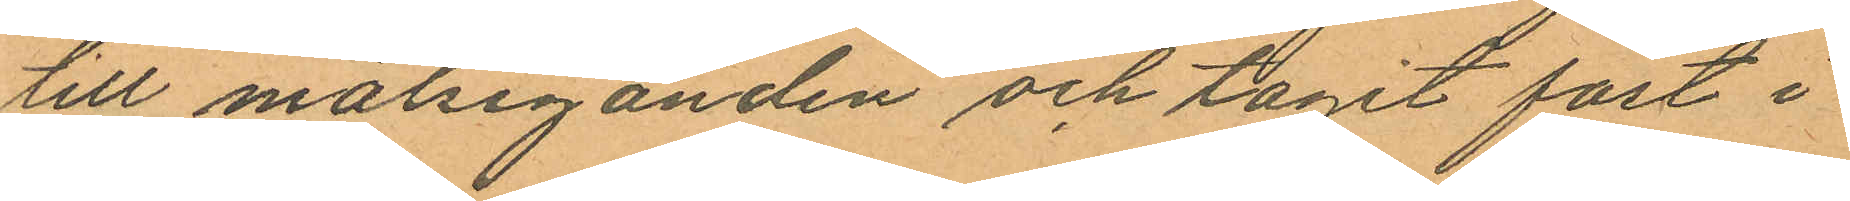till målseganden och tagit fast i
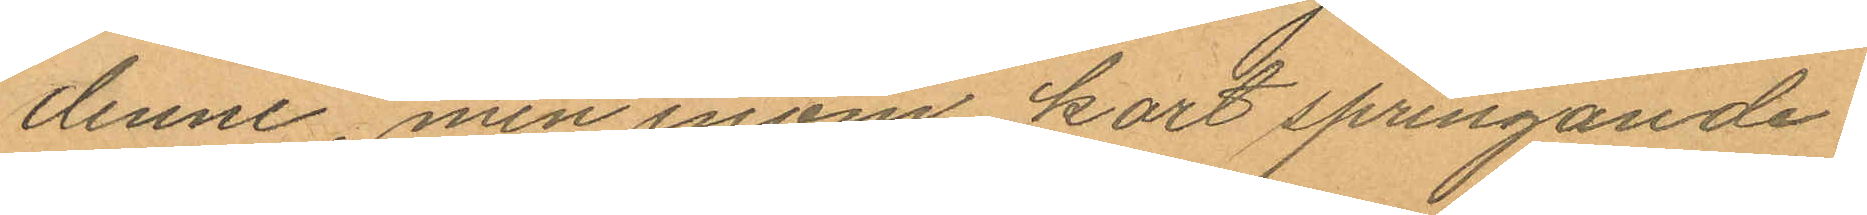denne, men inom kort springande
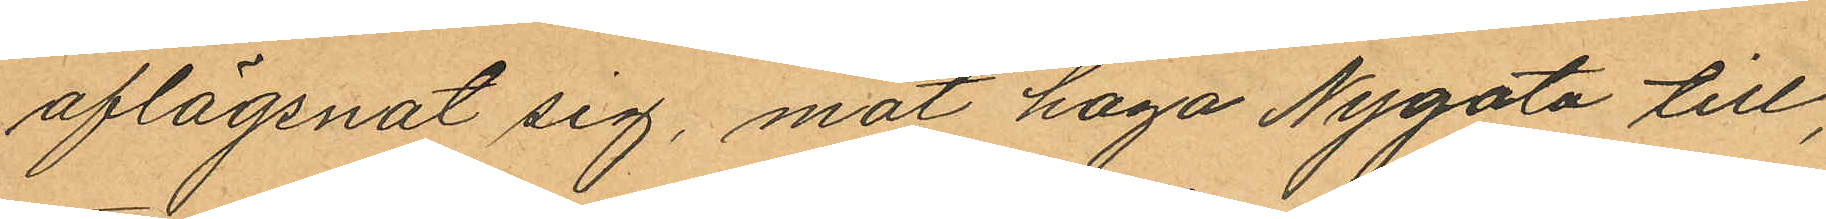aflägsnat sig, mot haga Nygata till,
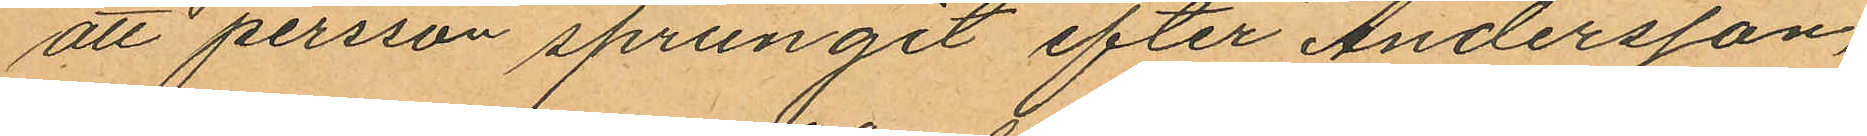att persson sprungit efter Andersson,
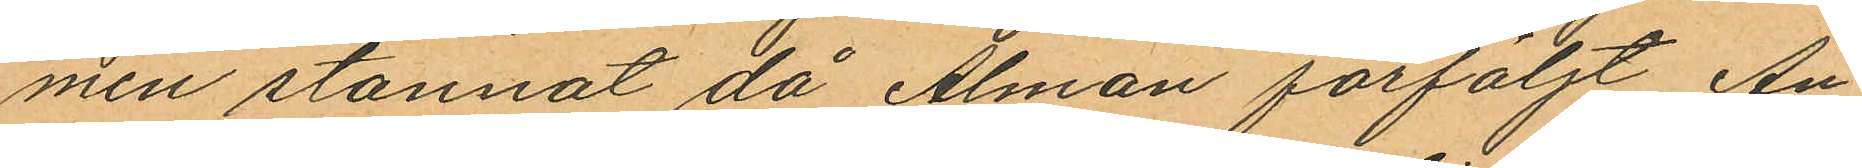men stannat då Alman förföljt An¬
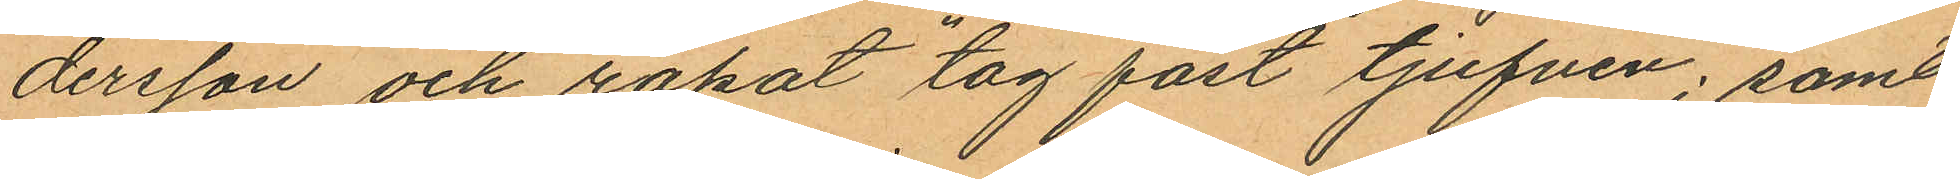dersson och ropat "tag fast tjufven"; samt
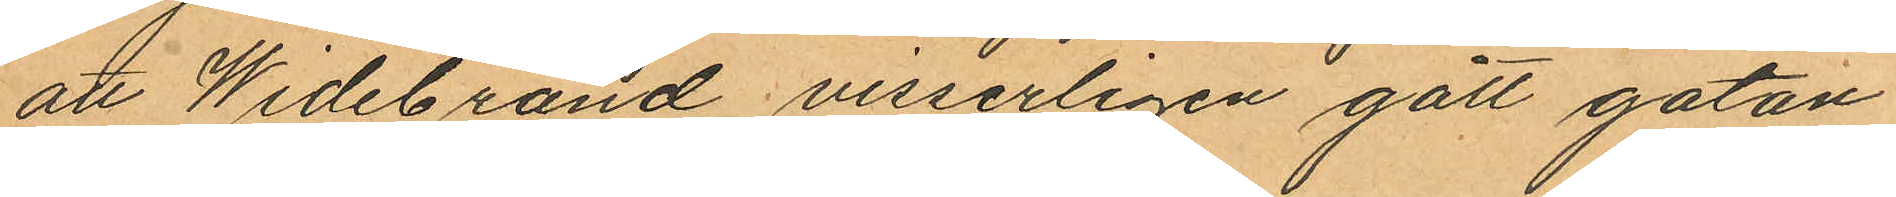att Widebrand visserligen gått gatan
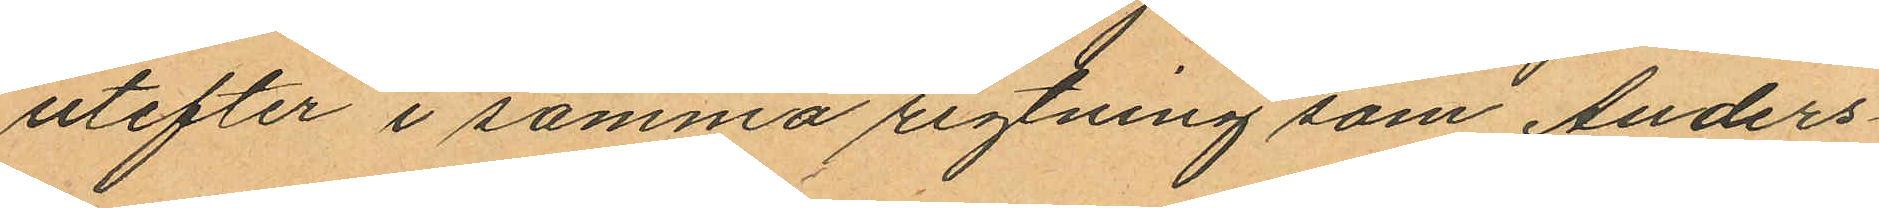utefter i samma rigtning som Anders¬
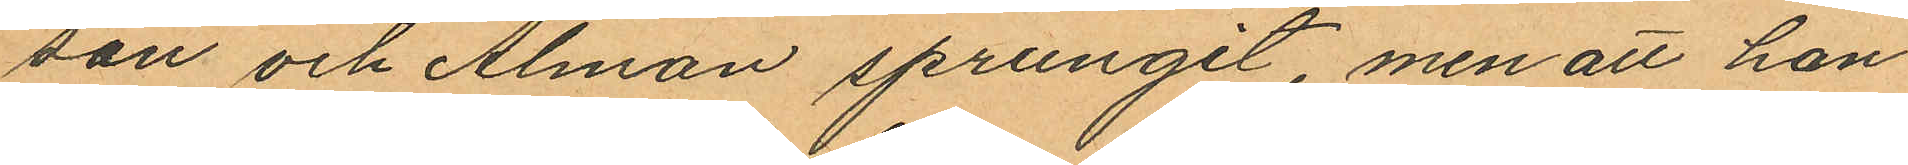son och Alman sprungit, men att han
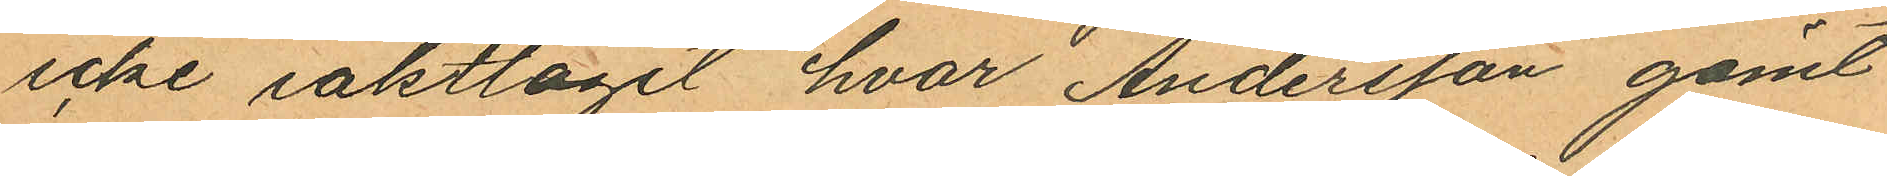icke iakttagit hvar Andersson gömt
